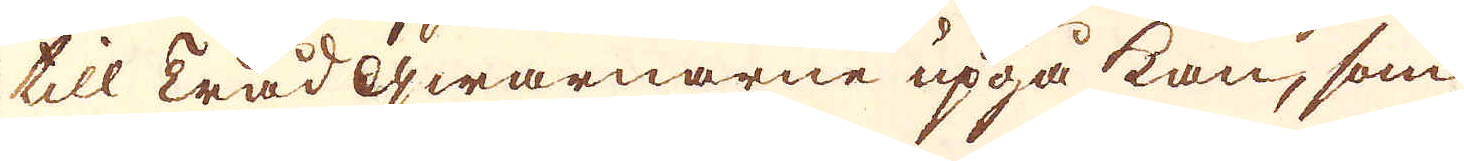till Trådqwarnarne upgå kan, som
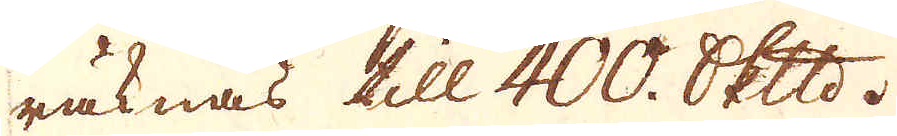räknas till 400. skeppund.
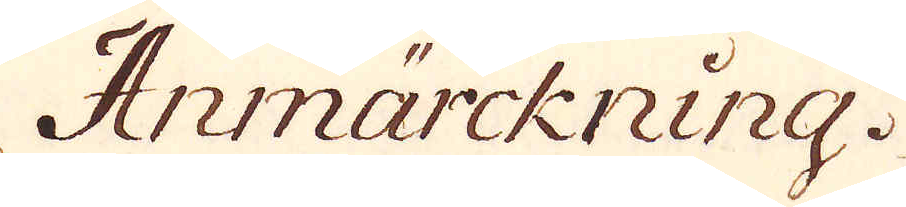Anmärckning.
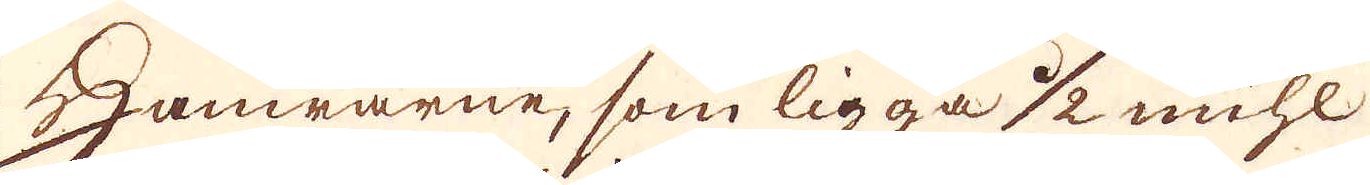Hamrarne, som ligga 1/2 mihl
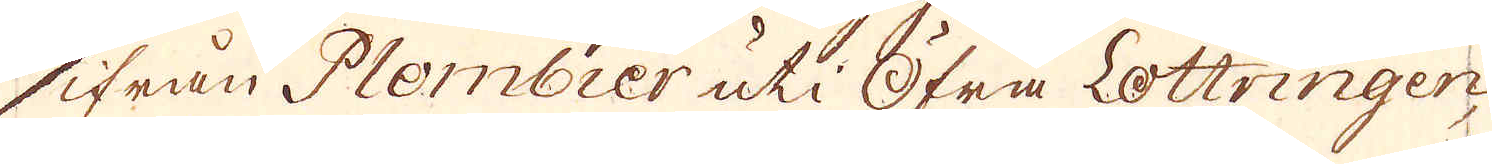ifrån Plombier uti Öfra Lottringen,
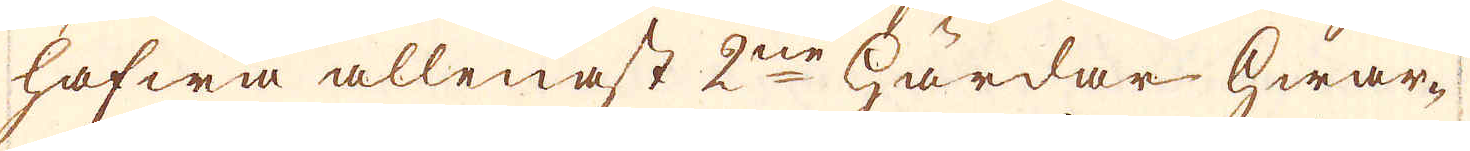hafwa allenast 2ne härdar hwar-
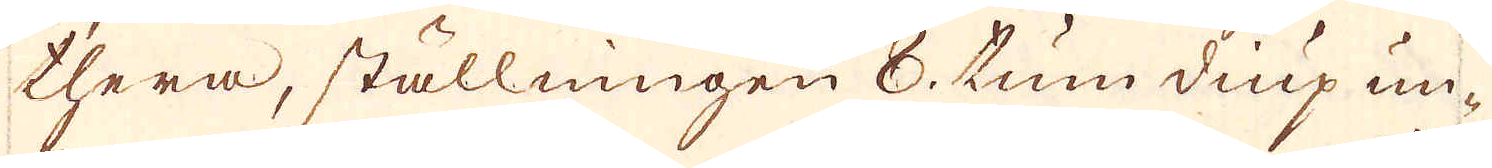thera, ställningen 8. tum diup un-
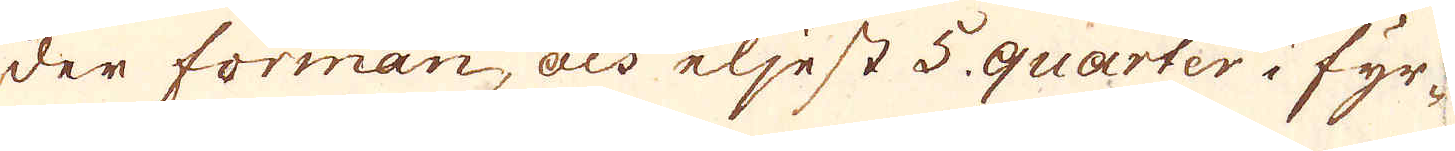der forman, och eljest 5. quarter i fyr-
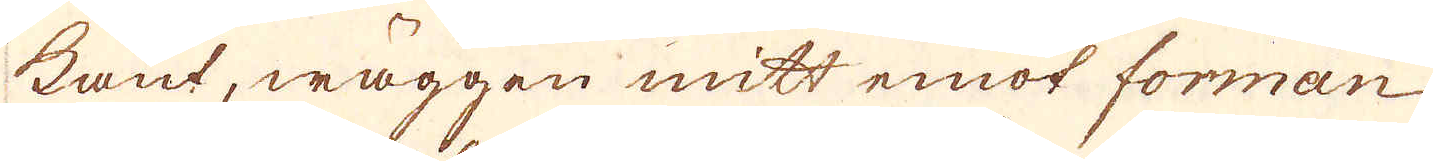kant, wäggen mitt emot forman
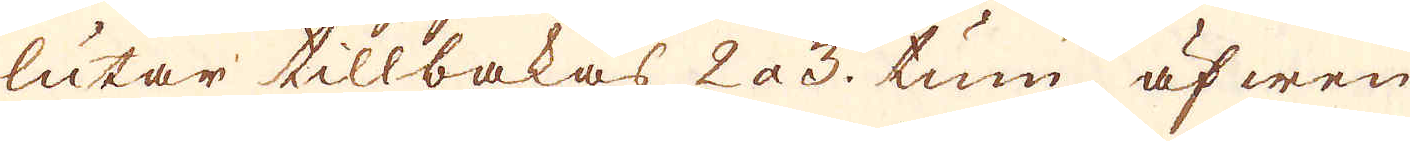lutar tillbakas 2 a 3. tum, äfwen
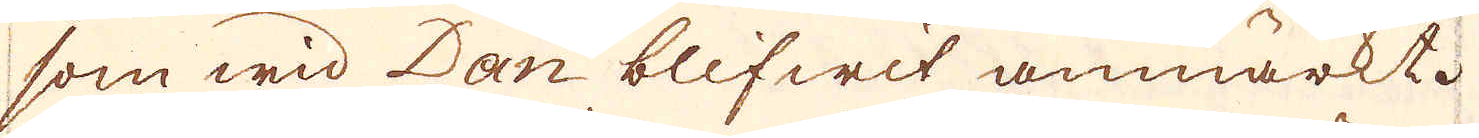som wid Dan blifwit anmärkt.
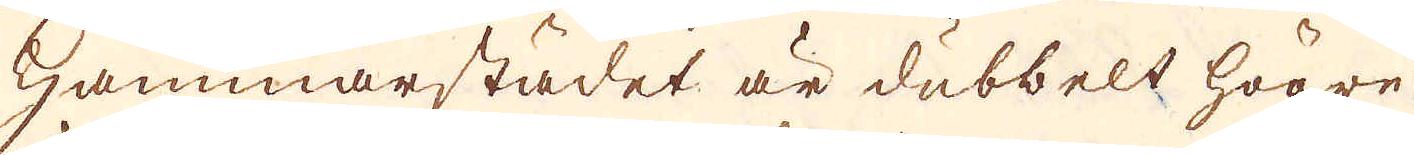Hammarstädet är dubbelt högre
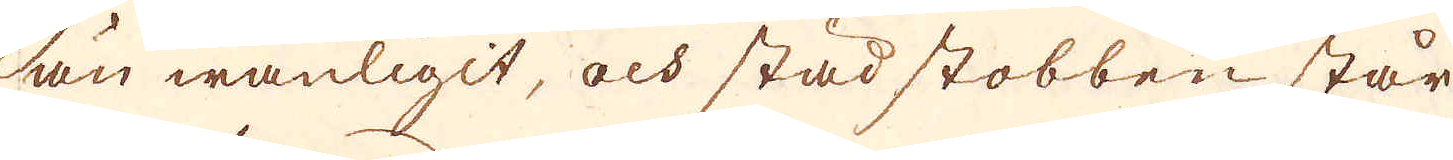än wanligit, och städ stobben står
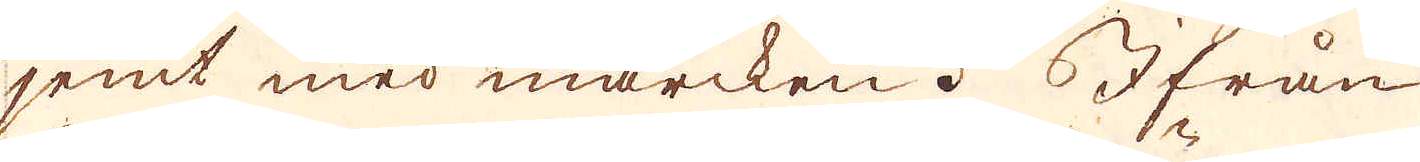jemt med marcken. Ifrån
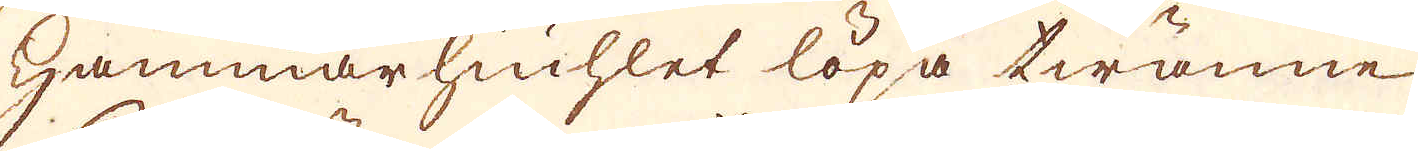hammarhiuhlet löpa twänne
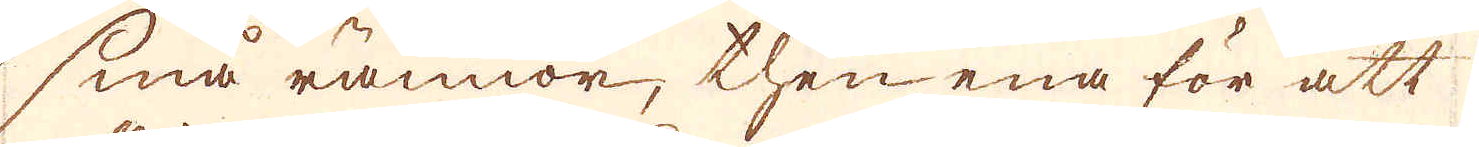små rännor, then ena för att
